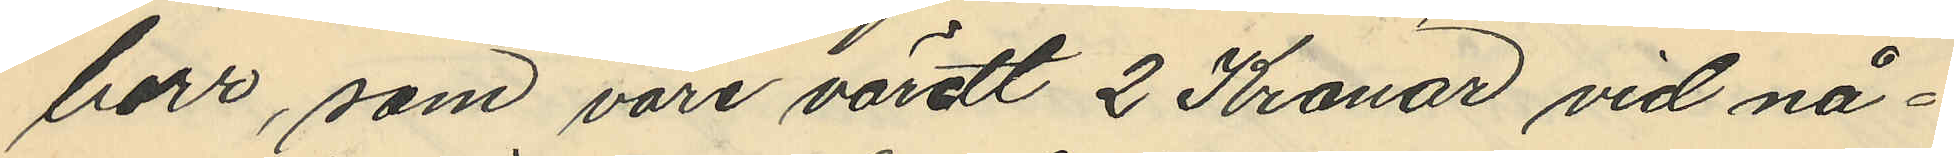borr, som vore värdt 2 Kronor vid nå¬
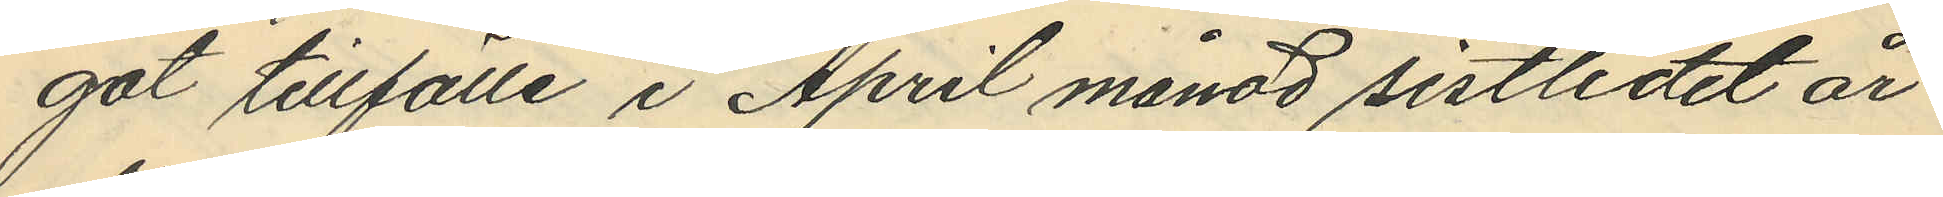got tillfälle i April månad sistlidet år
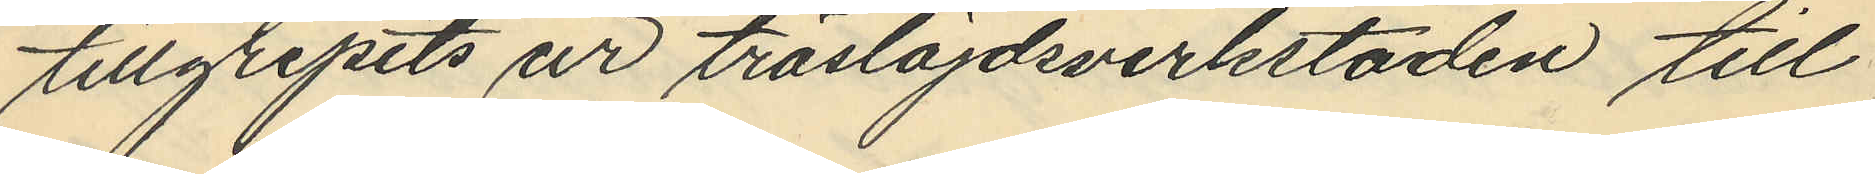tillgripits ur träslöjdsverkstaden till
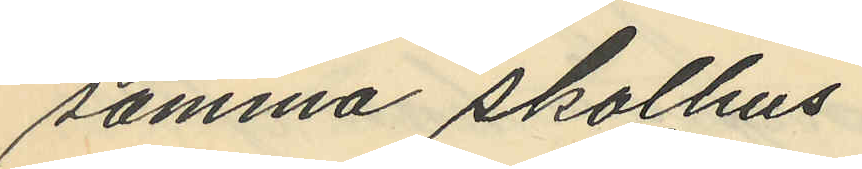samma skolhus.
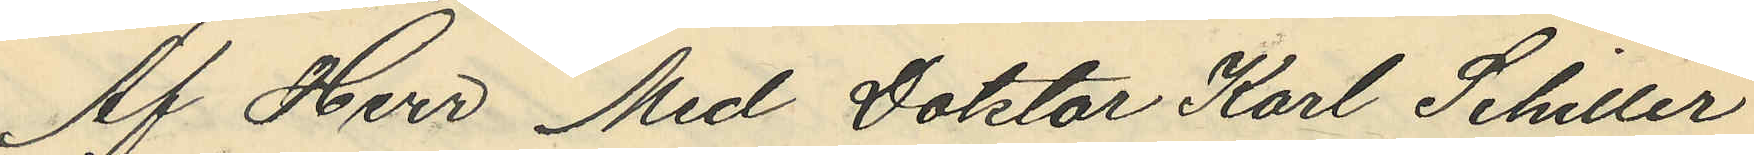Af Herr Med Doktor Karl Schiller
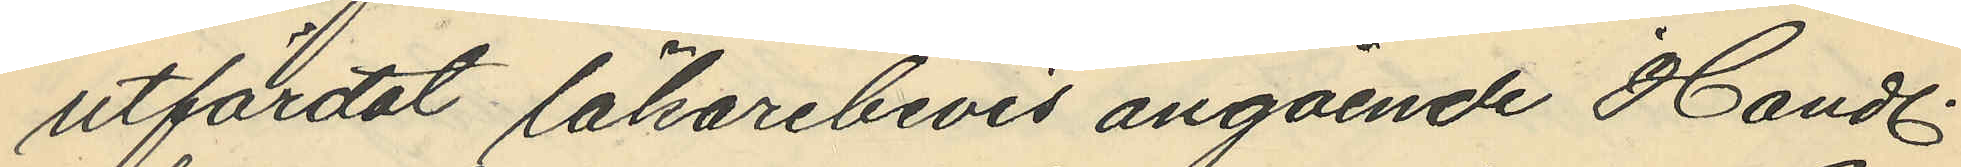utfärdat läkarebevis angående Handl.
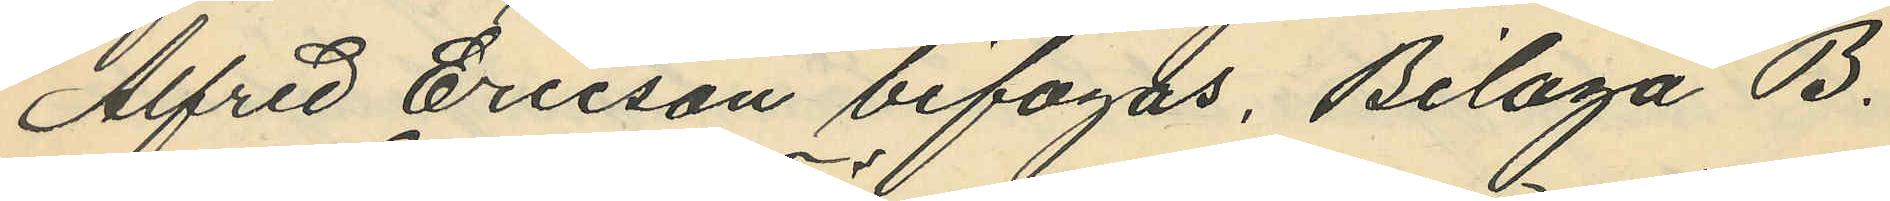Alfred Ericson bifogas, Bilaga B.
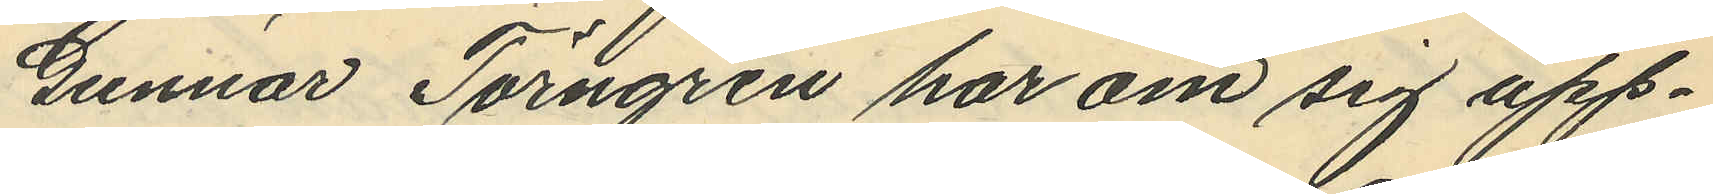Gunnar Törngren har om sig upp¬
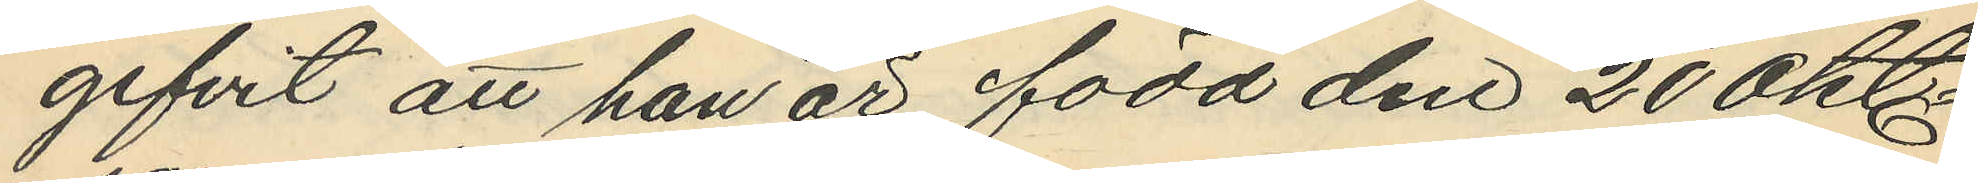gifvit att han är född den 20 Okt
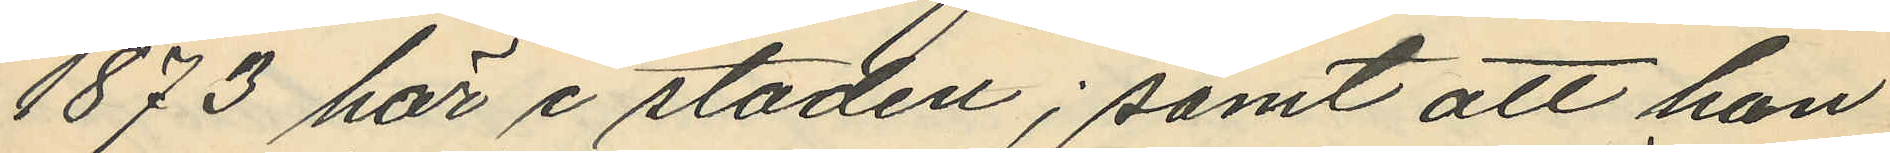1873 här i staden; samt att han
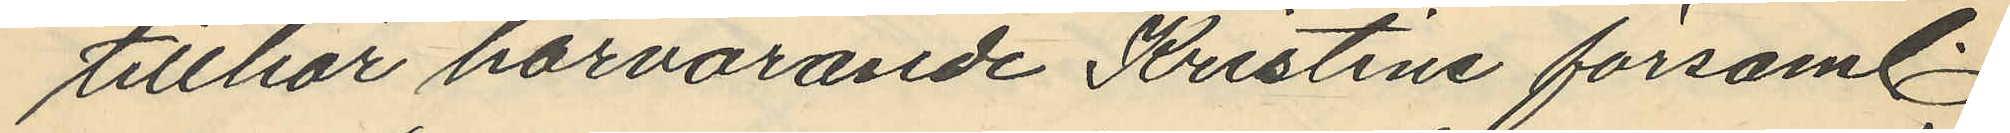tillhör härvarande Kristine församl.
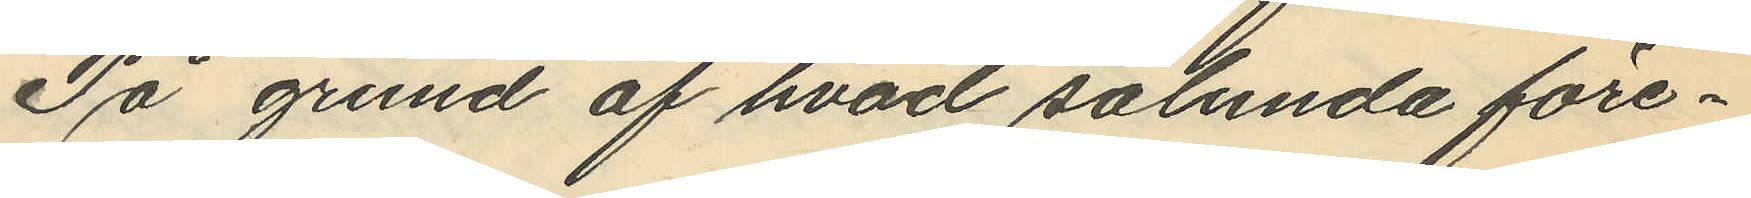På grund af hvad sålunda före¬
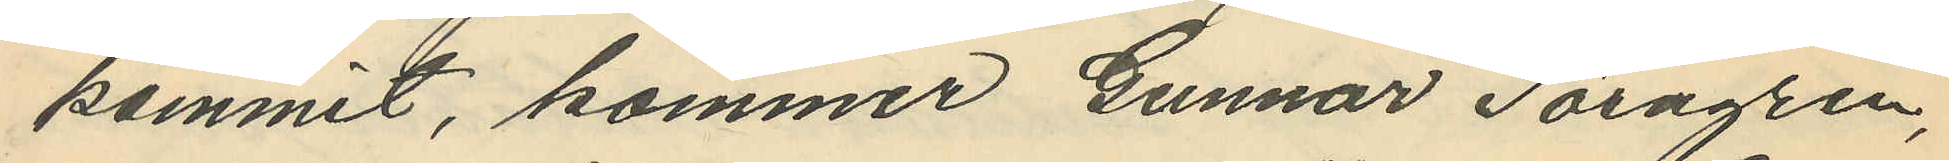kommit, kommer Gunnar Törngren,
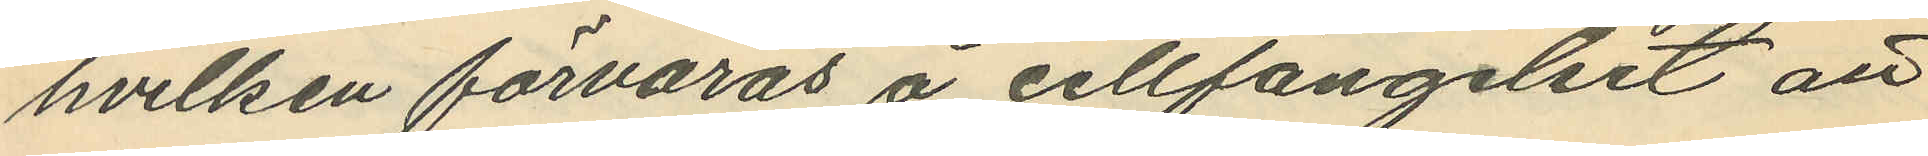hvilken förvaras å cellfängelset att
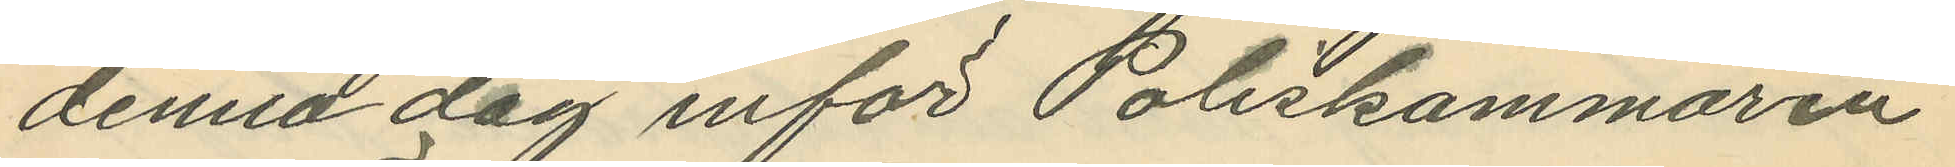denna dag inför Poliskammaren
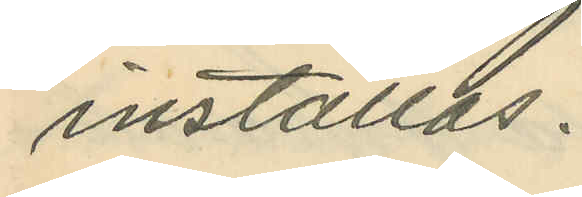inställas.
